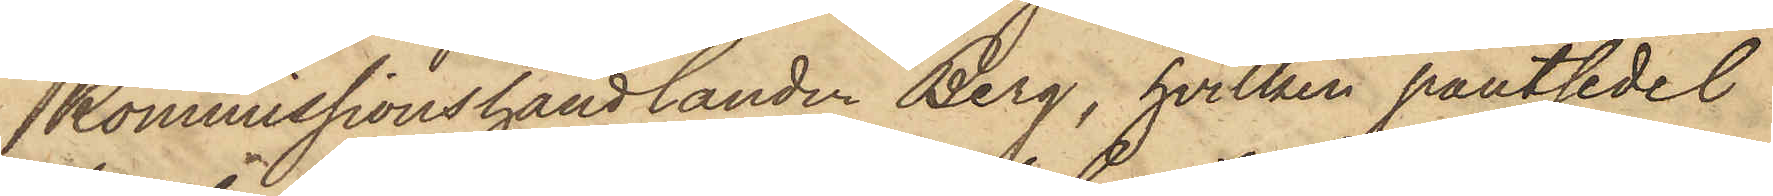Kommissionshandlanden Berg, hvilken pantsedel
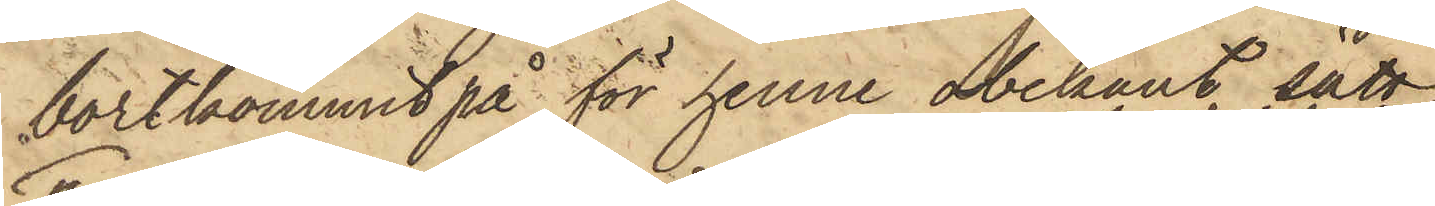bortkommit på för henne obekant sätt
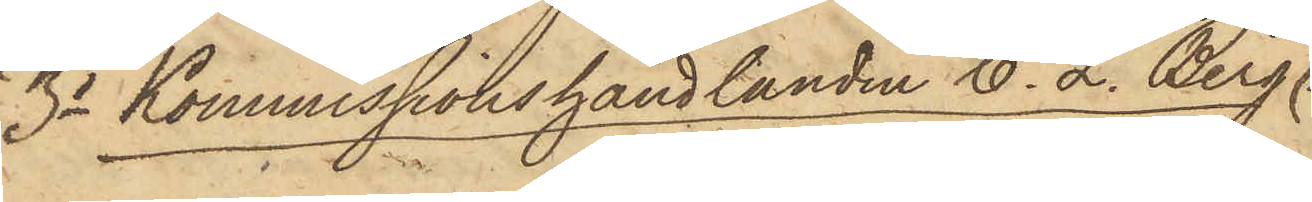3o Kommissionshandlanden C. L. Berg
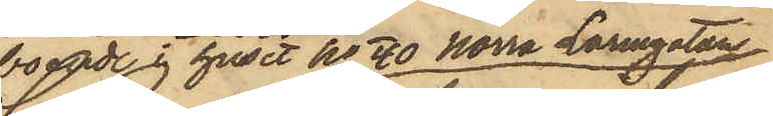boende i huset No 40 Norra Larmgatan,
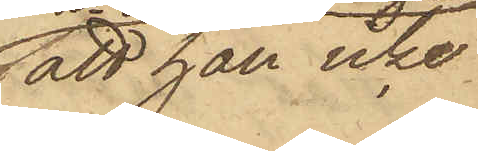att han icke
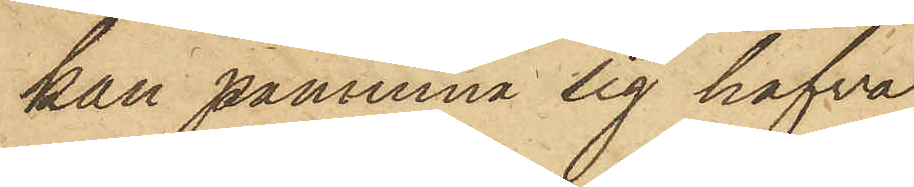kan påminna sig hafva
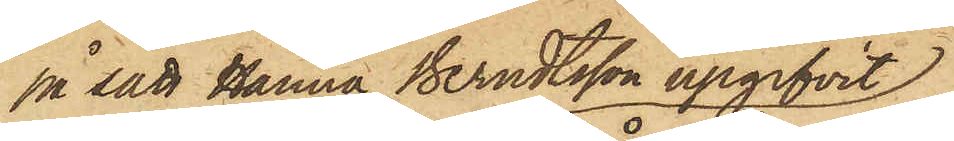på sätt Hanna Berndtsson upgifvit
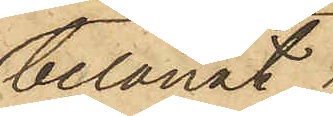belånat
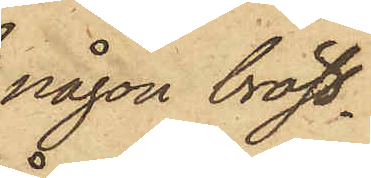någon bröst¬
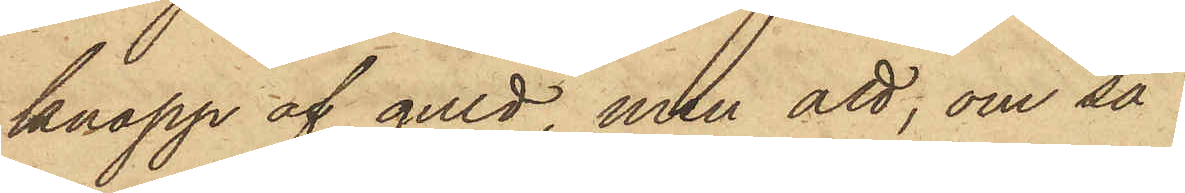knapp af guld, men att, om så
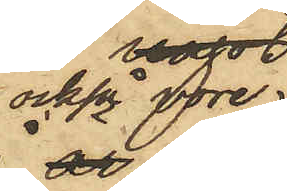också vore
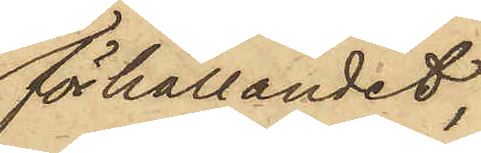förhållandet,
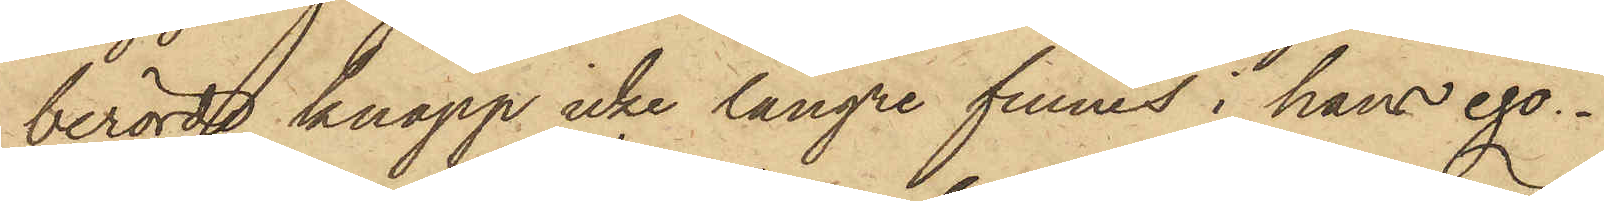berörde knapp icke längre funnes i hans ego.
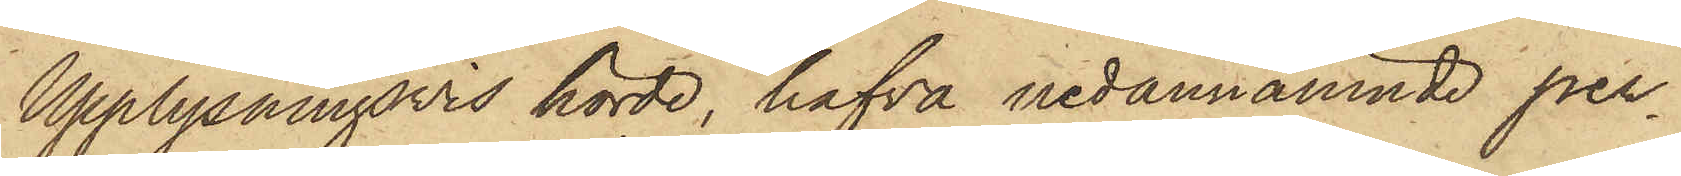Upplysningsvis hörde, hafva nedannämnde per¬
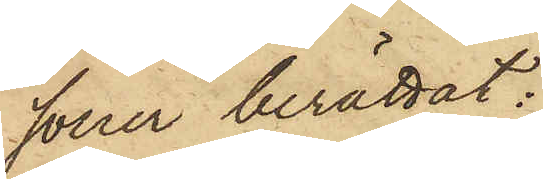soner berättat:
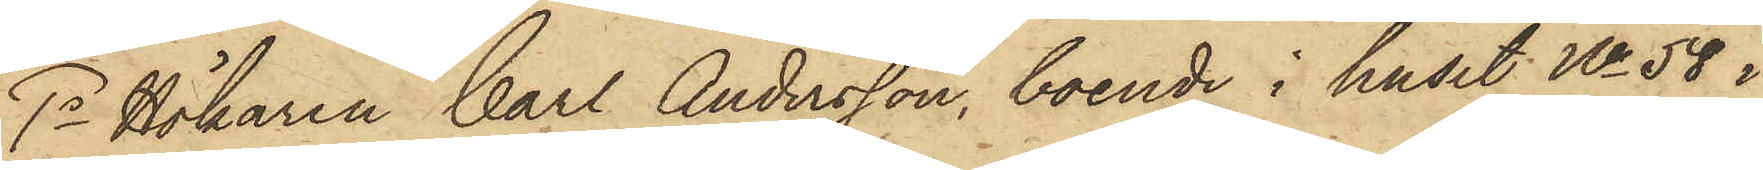1o Hökaren Carl Andersson, boende i huset No 58 i
